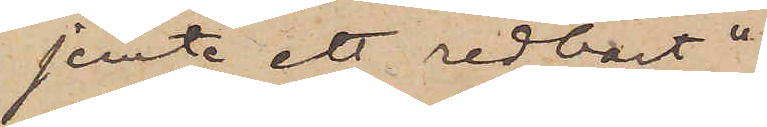jemte ett redbart"
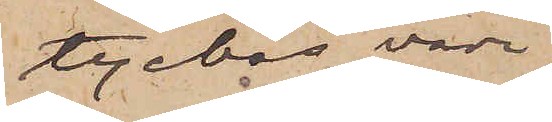tyckas vara
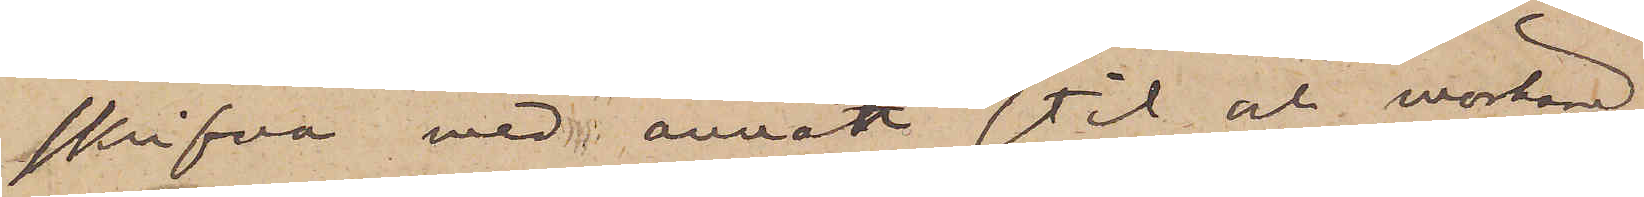skrifvna med annan stil och mörkare
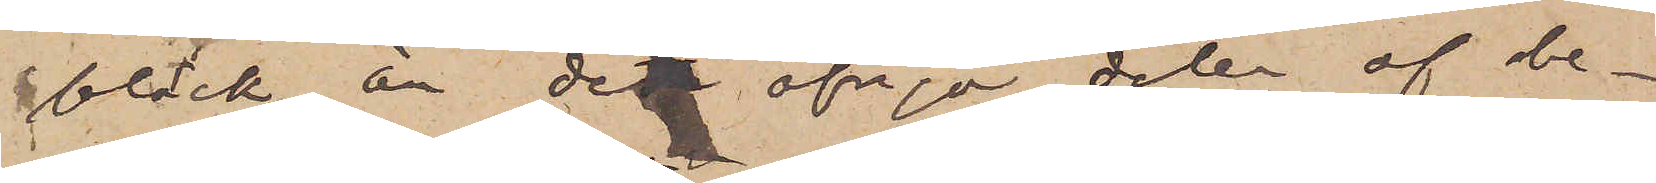bläck än den öfriga delen af be¬
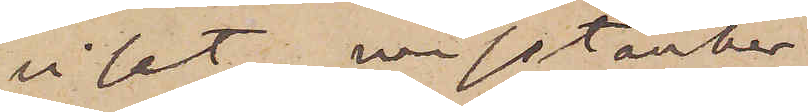viset, misstänker
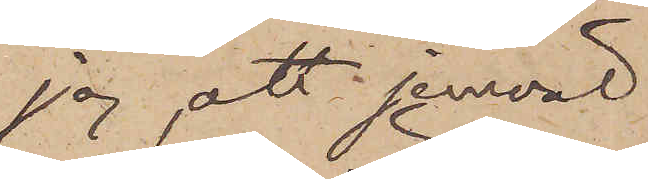jag, att jemväl
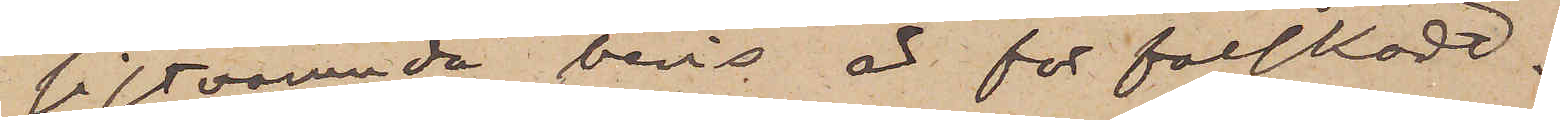sistnämnda bevis är förfalskadt.
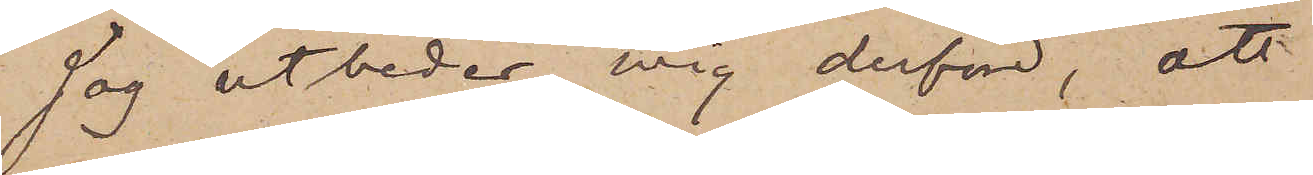Jag utbeder mig derför, att
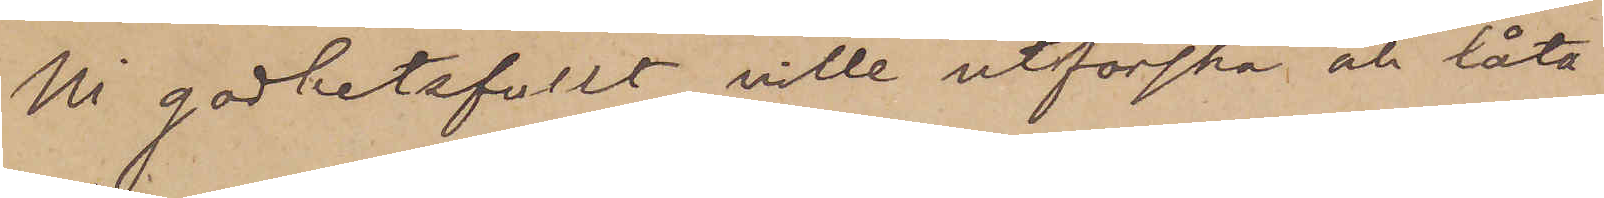Ni godhetsfullt ville utforska och låta
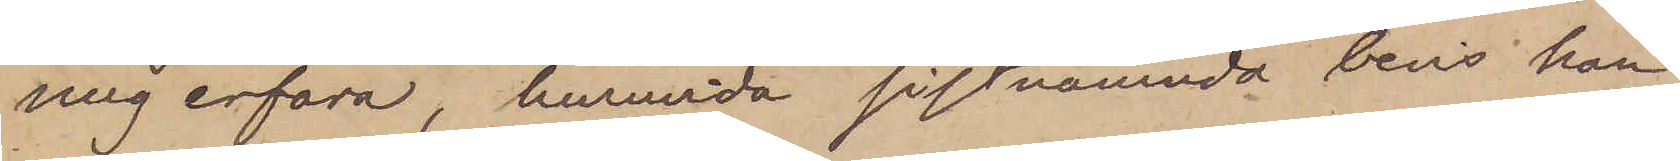mig erfara, huruvida sistnämnda bevis kan
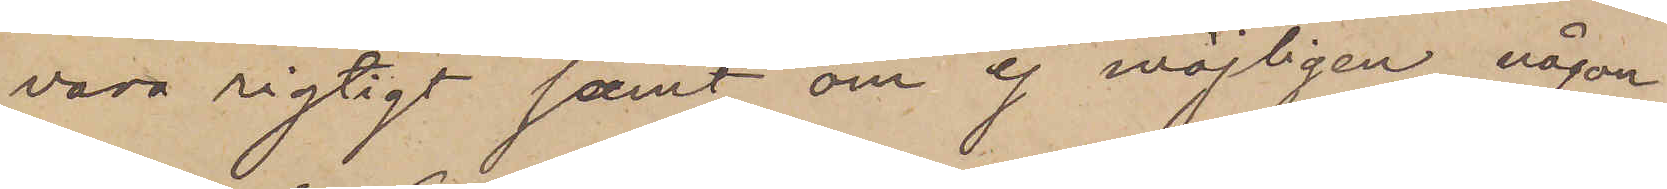vara rigtigt samt om ej möjligen någon
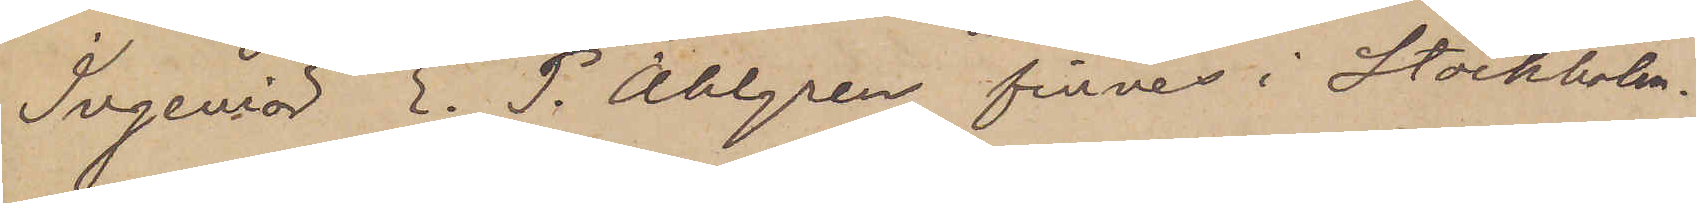Ingeniör E. P. Ahlgren finnes i Stockholm.
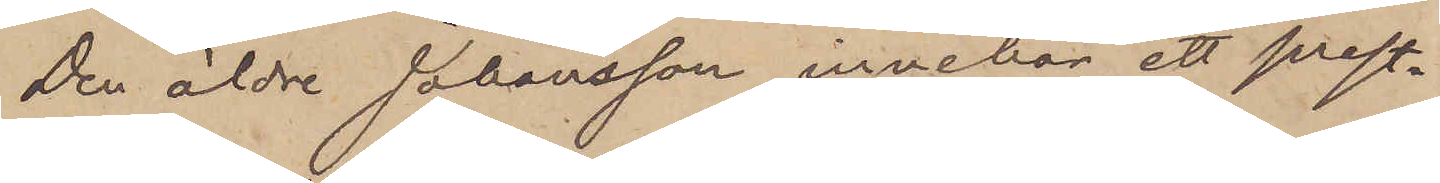Den äldre Johansson innehar ett prest¬
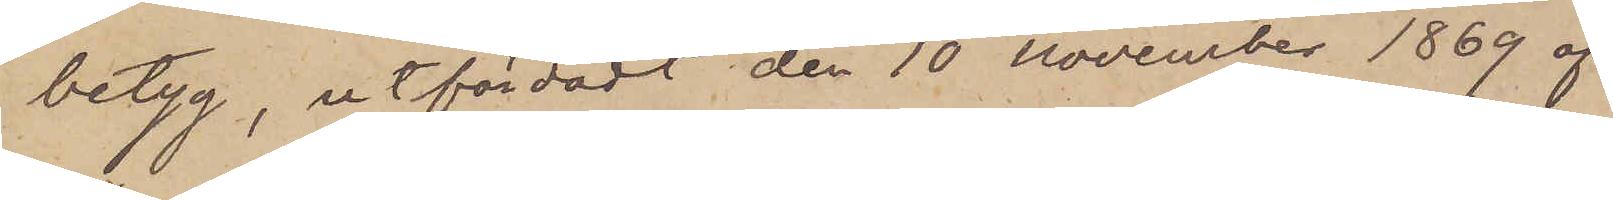betyg, utfärdadt den 10 November 1869 af
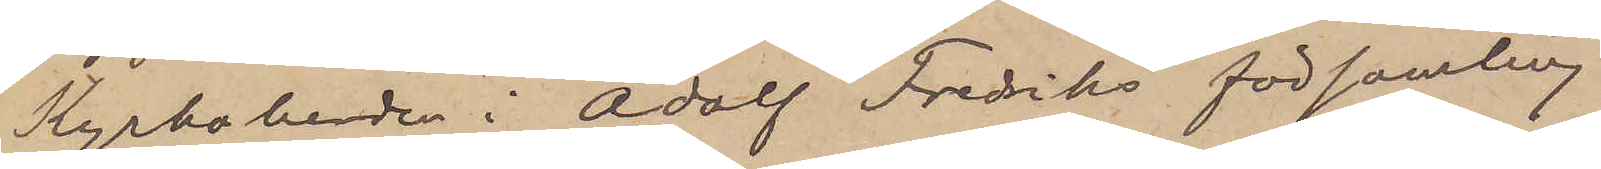Kyrkoherden i Adolf Fredriks församling
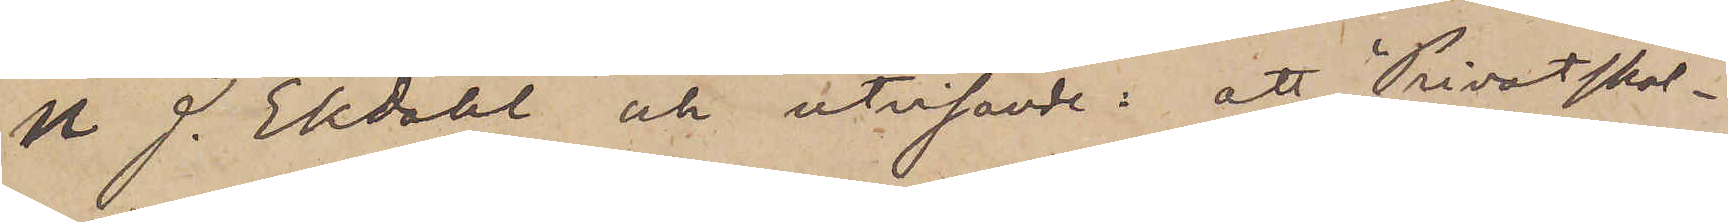N J. Ekdahl och utvisande: att "Privatskol¬
